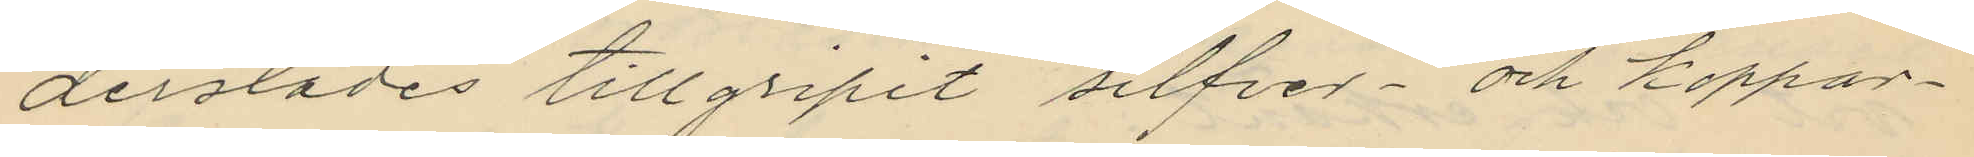derstädes tillgripit silfver- och koppar¬
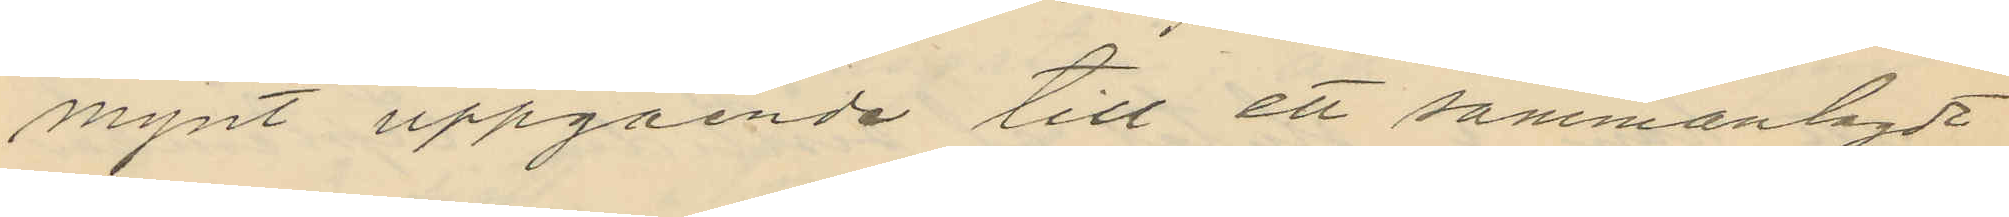mynt uppgående till ett sammanlagdt
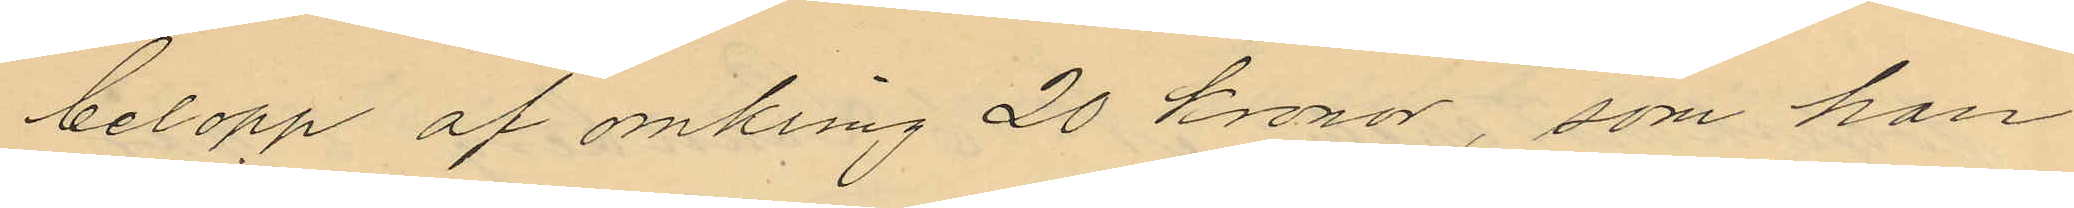belopp af omkring 20 kronor, som han
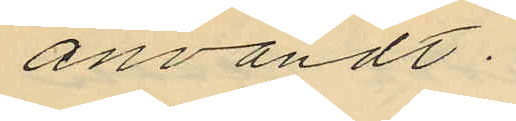användt.
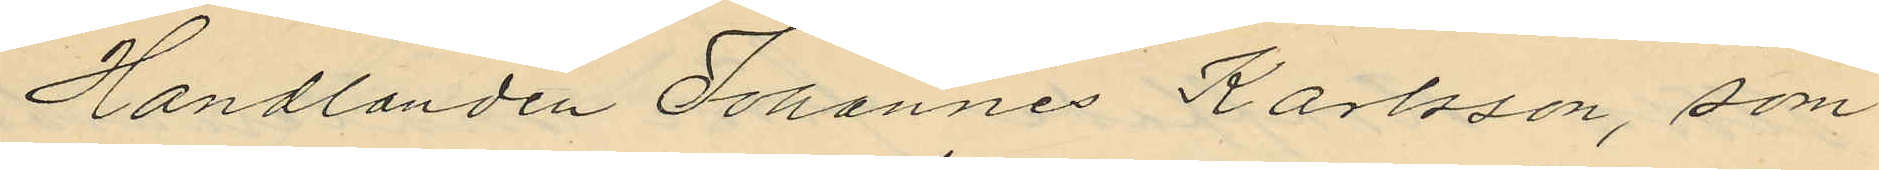Handlanden Johannes Karlsson, som
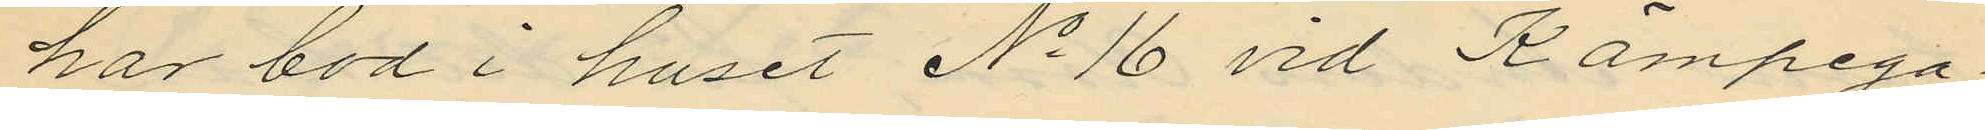har bod i huset No 16 vid Kämpega¬
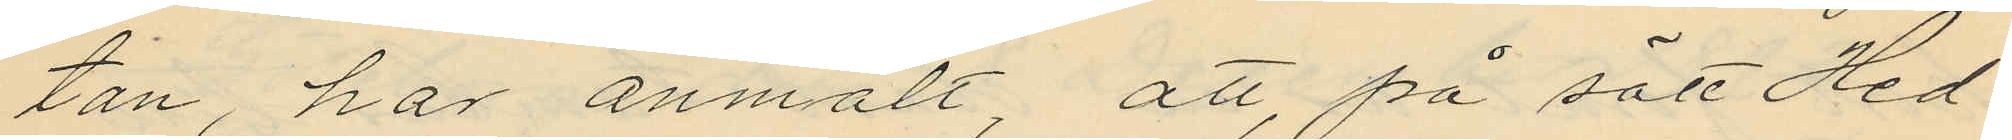tan, har anmält, att, på sätt Hed¬
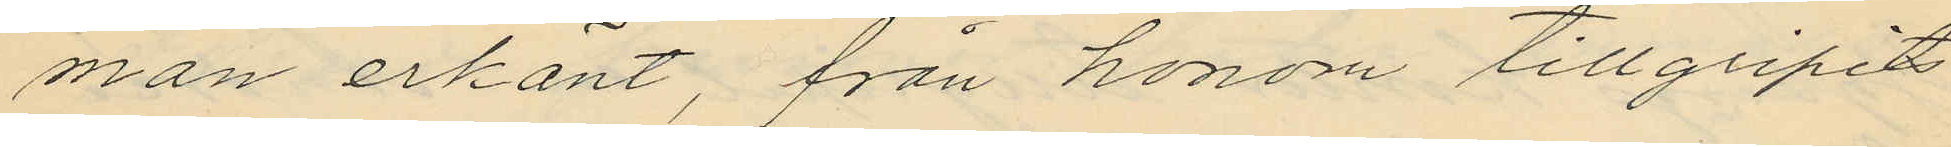man erkänt, från honom tillgripits
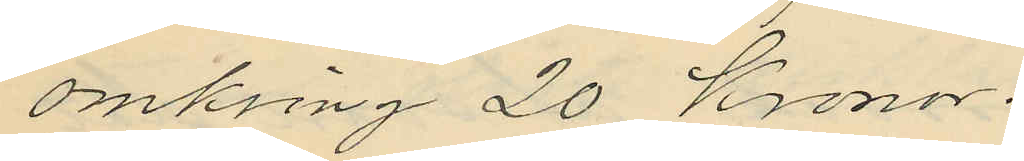omkring 20 Kronor.
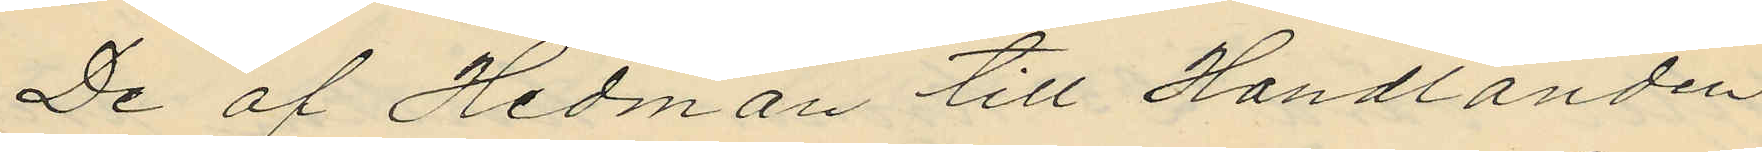De af Hedman till Handlanden
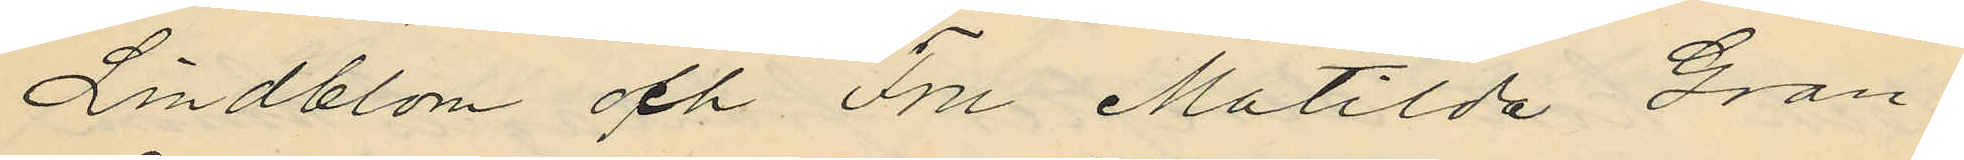Lindblom och Fru Matilda Gran¬
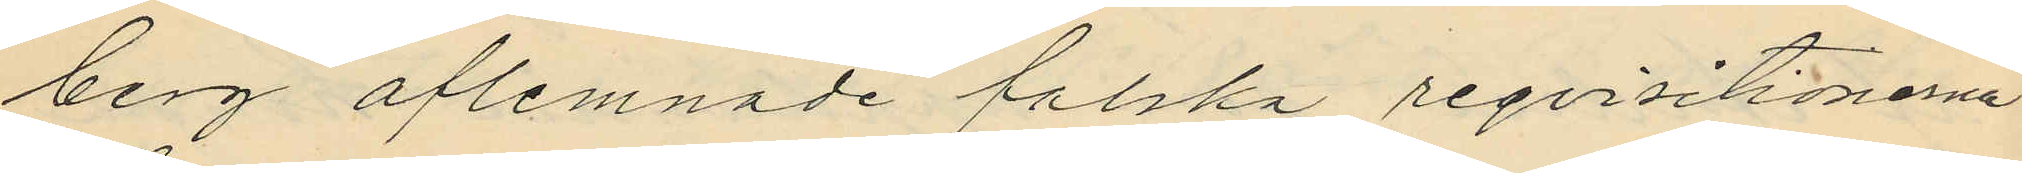berg aflemnade falska reqvisitionerna
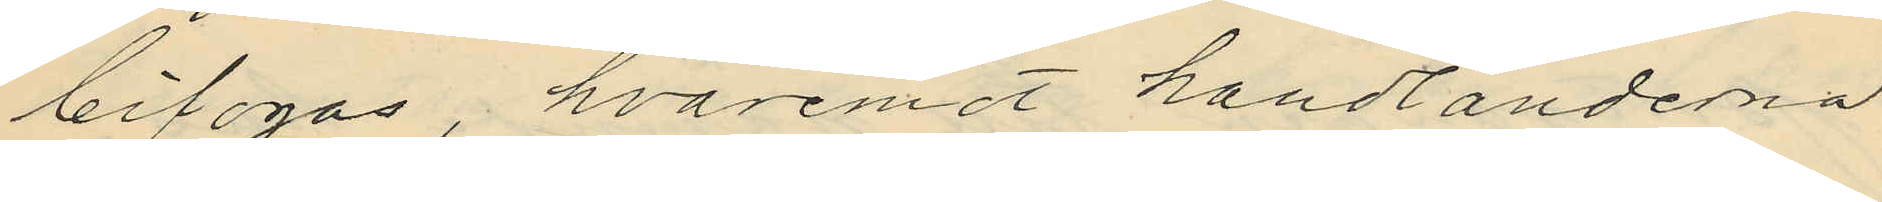bifogas, hvaremot handlanderna
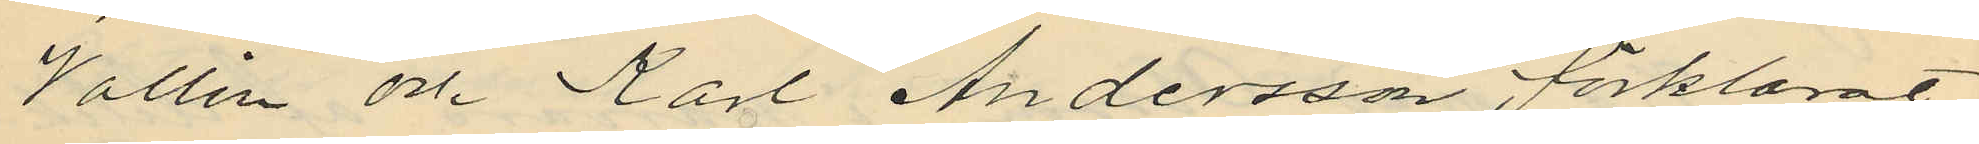Vallin och Karl Andersson förklarat
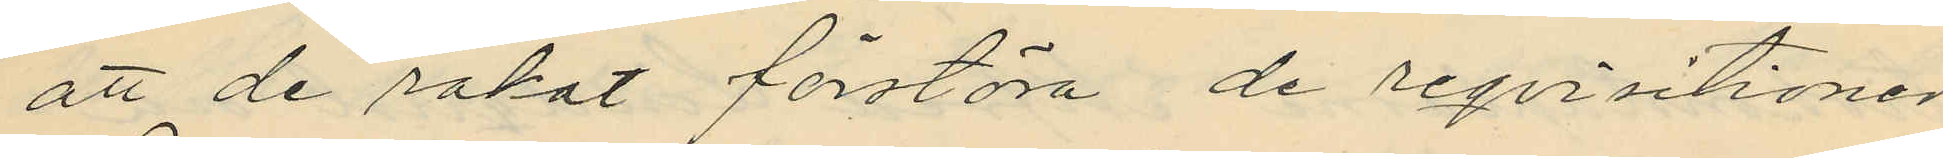att de råkat förstöra de reqvisitioner
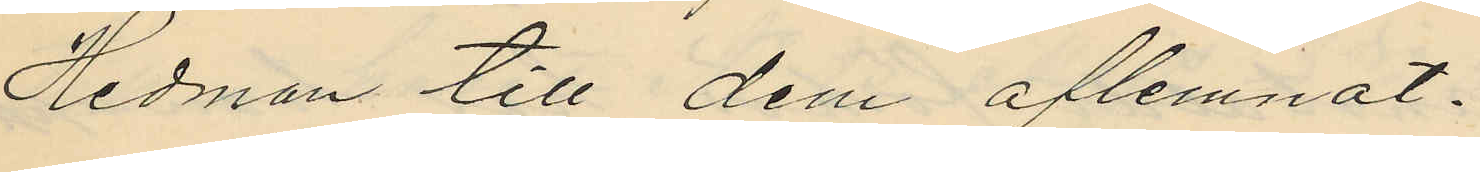Hedman till dem aflemnat.
